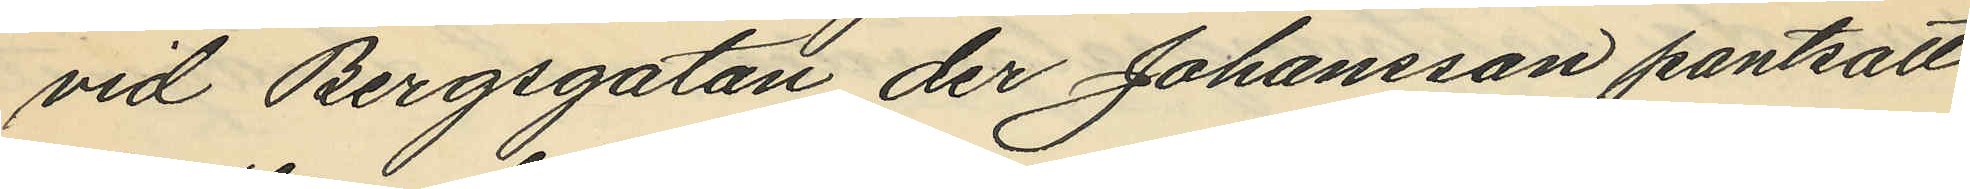vid Bergsgatan der Johansson pantsatt
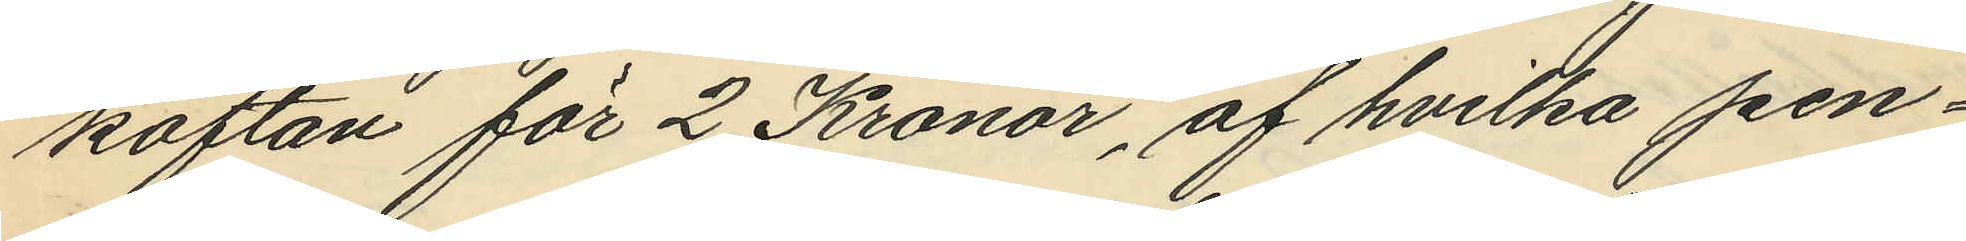koftan för 2 Kronor, af hvilka pen¬
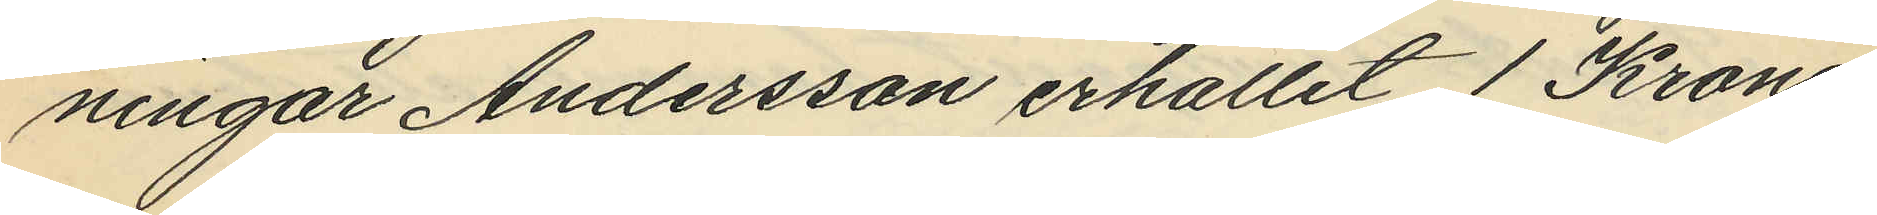ningar Andersson erhållit 1 Krona;
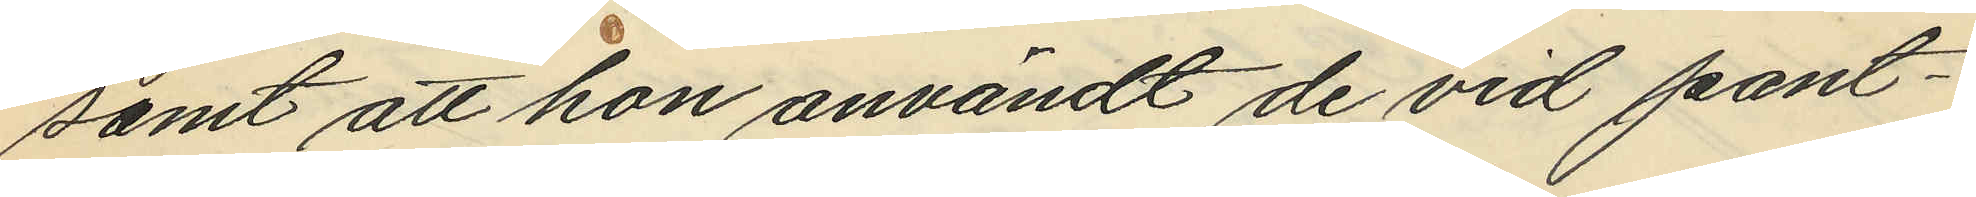samt att hon användt de vid pant¬
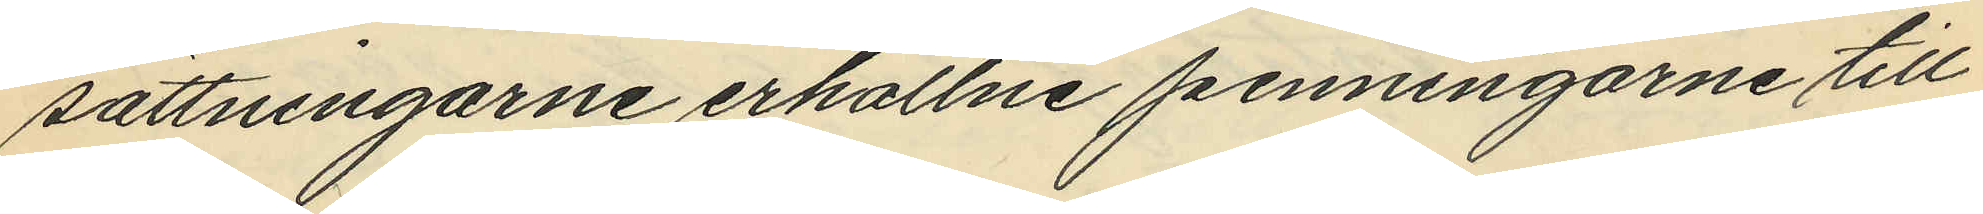sättningarne erhållne penningarne till
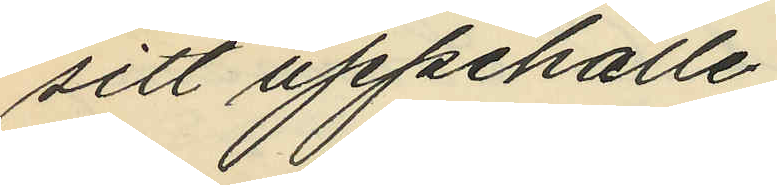sitt uppehälle.
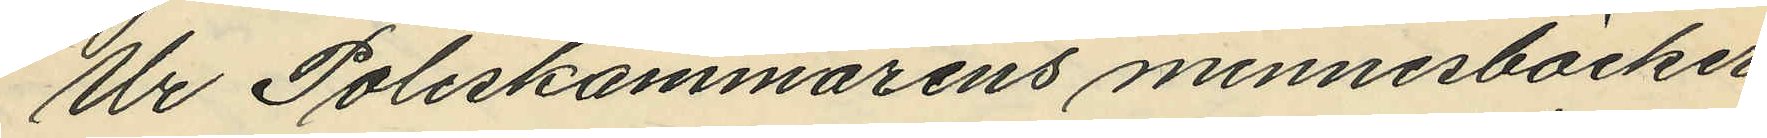Ur Poliskammarens minnesböcker
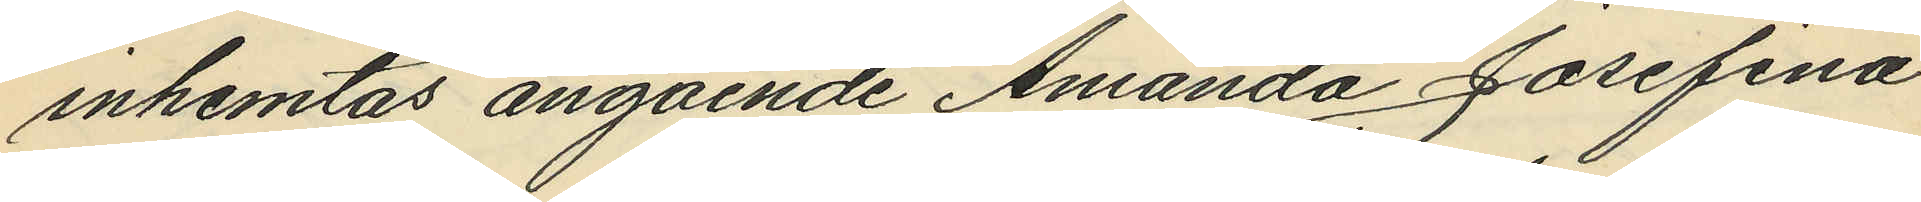inhemtas angående Amanda Josefina
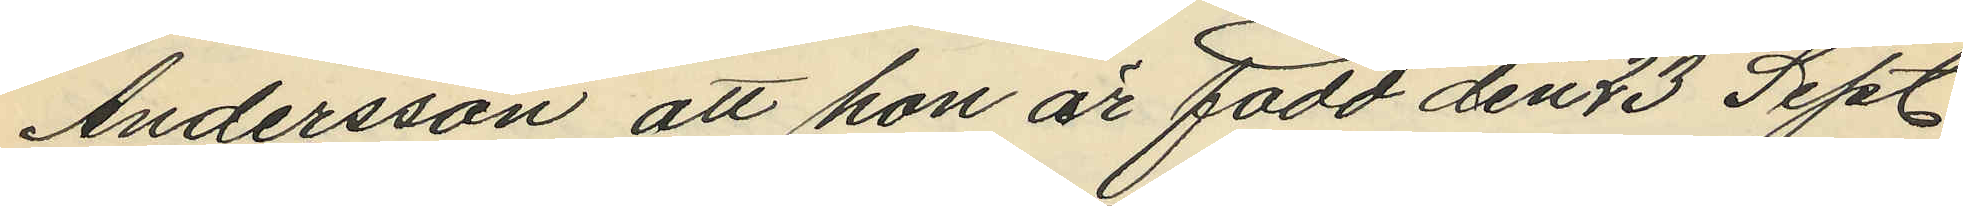Andersson att hon är född den 23 Sept.
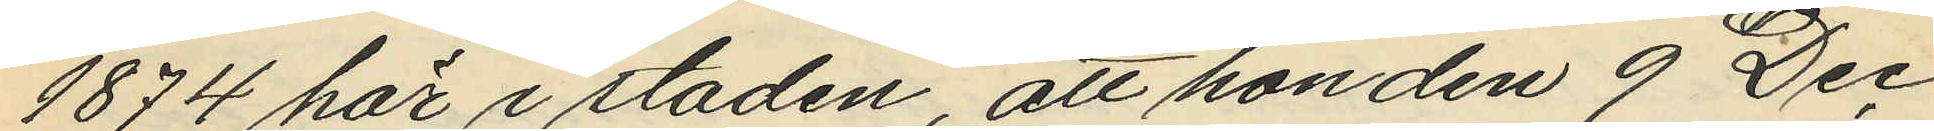1874 här i staden, att hon den 9 Dec
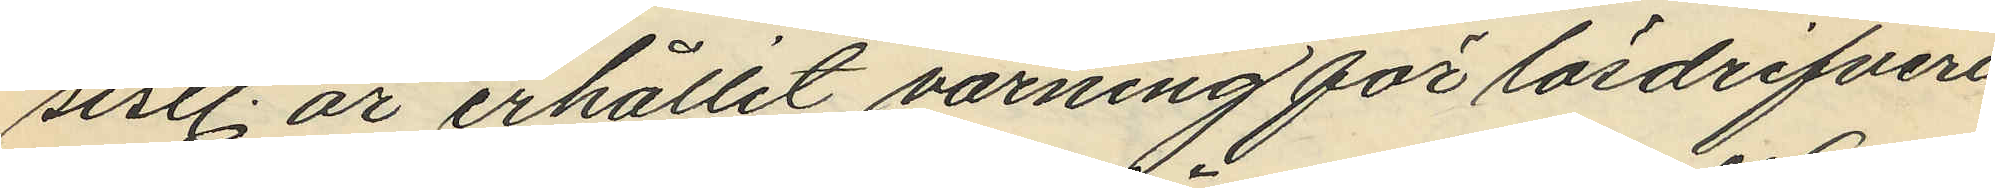sistl. år erhållit varning för lösdrifveri
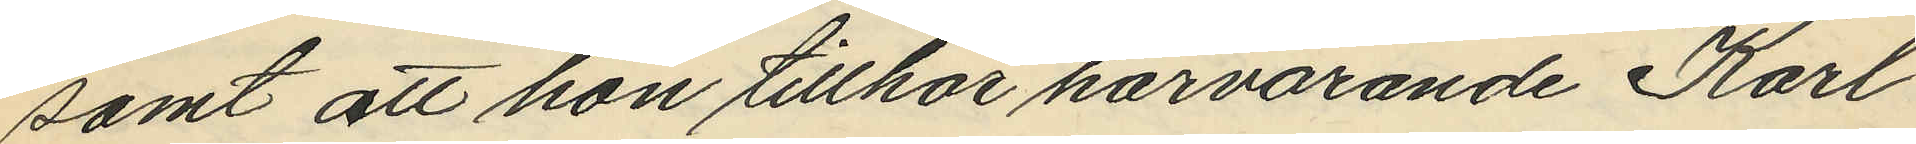samt att hon tillhör härvarande Karl
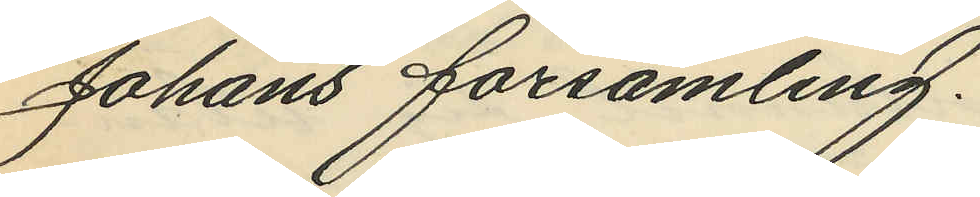Johans församling.
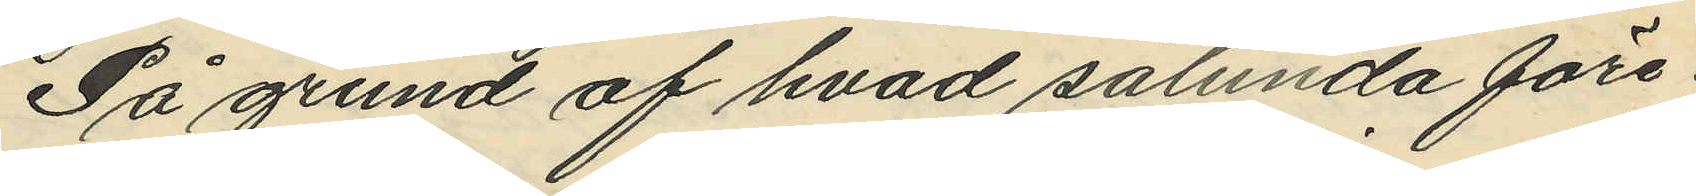På grund af hvad sålunda före¬
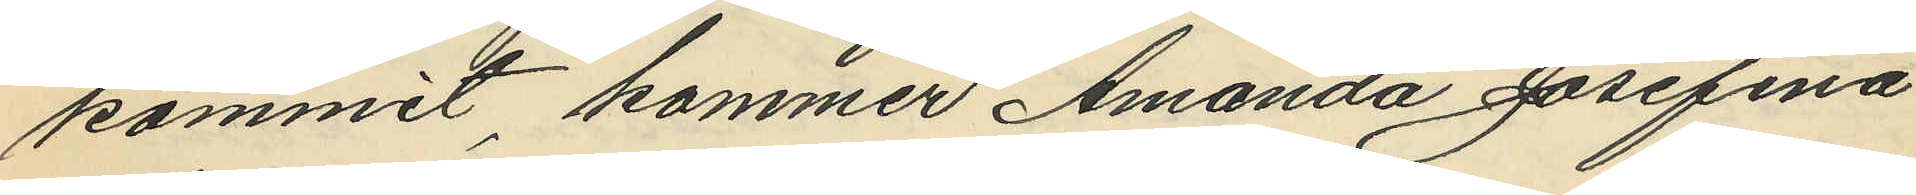kommit, kommer Amanda Josefina
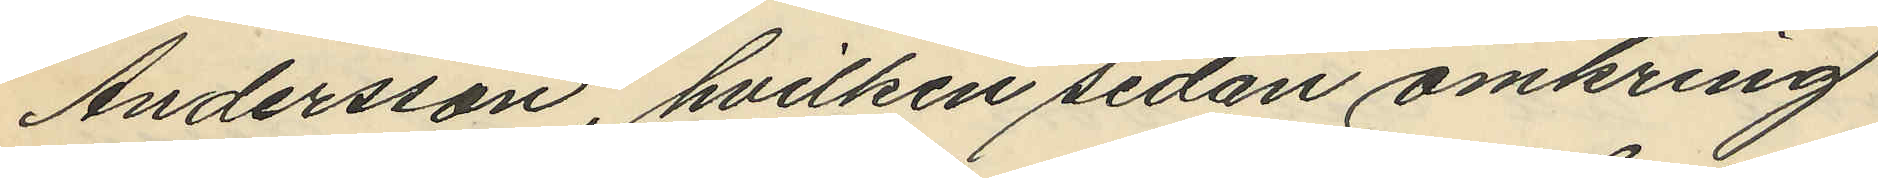Andersson, hvilken sedan omkring
